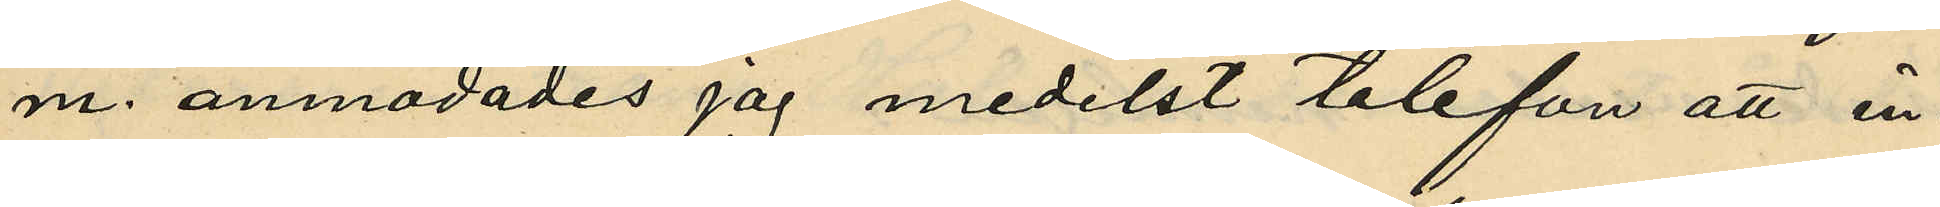m. anmodades jag medelst telefon att in¬
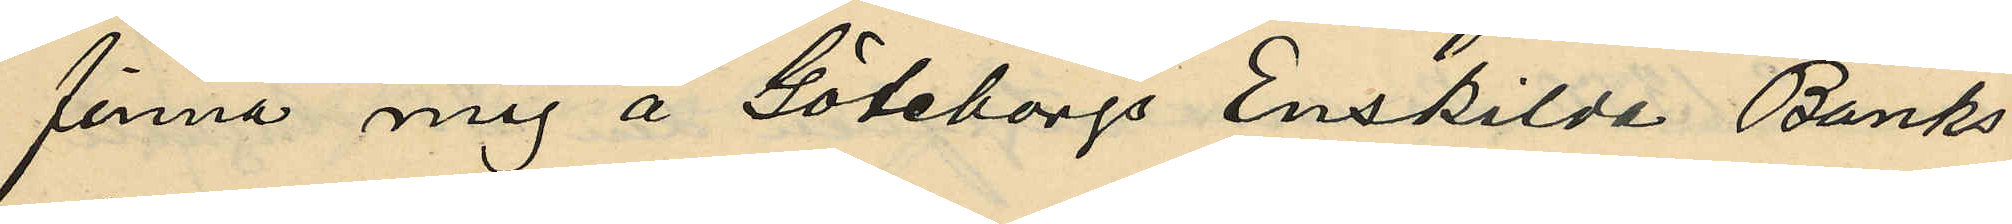finna mig å Göteborgs Enskilda Banks
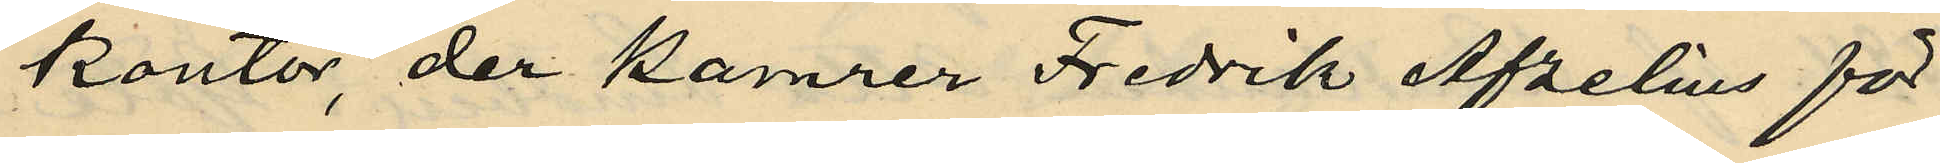kontor, der kamrer Fredrik Afzelius för
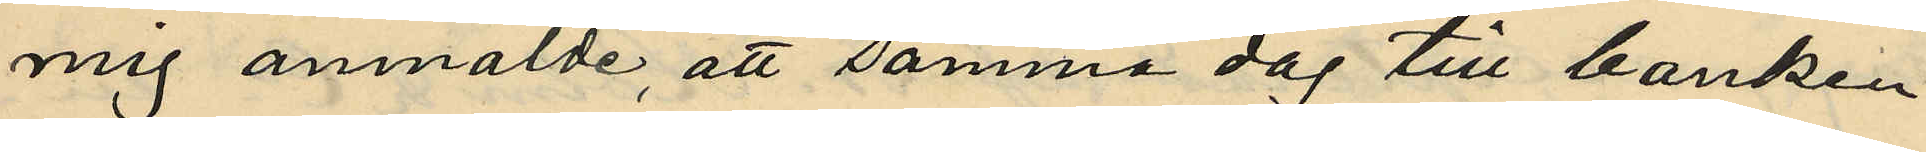mig anmälde, att samma dag till banken
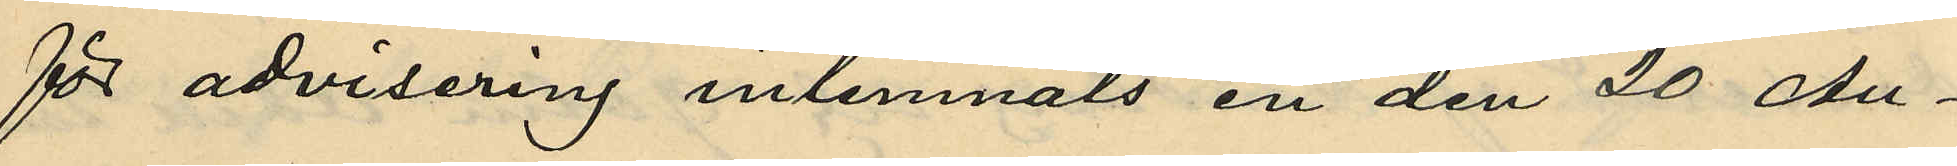för advisering inlemnats en den 20 Au¬
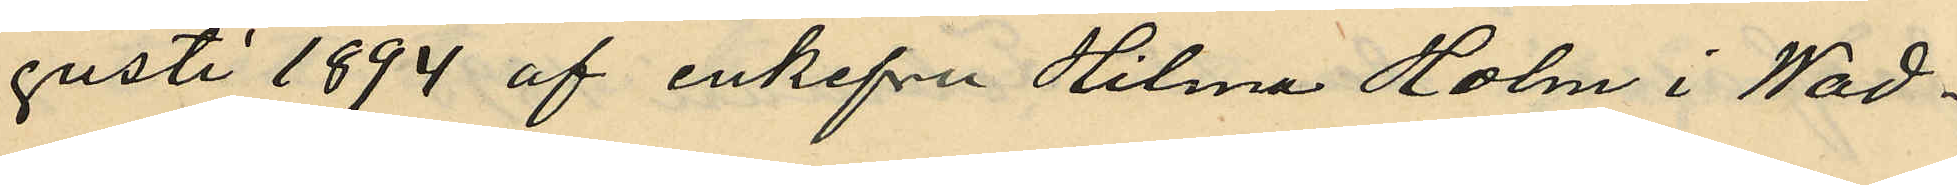gusti 1894 af enkefru Hilma Holm i Wad¬
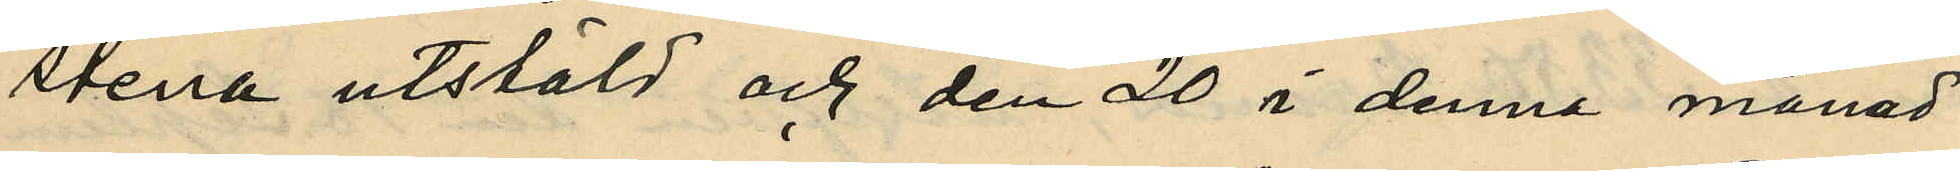stena utstäld och den 20 i denna månad
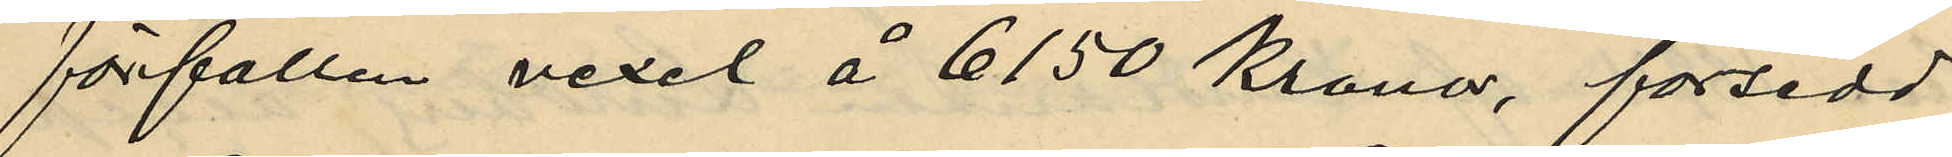förfallen vexel å 6150 Kronor, försedd
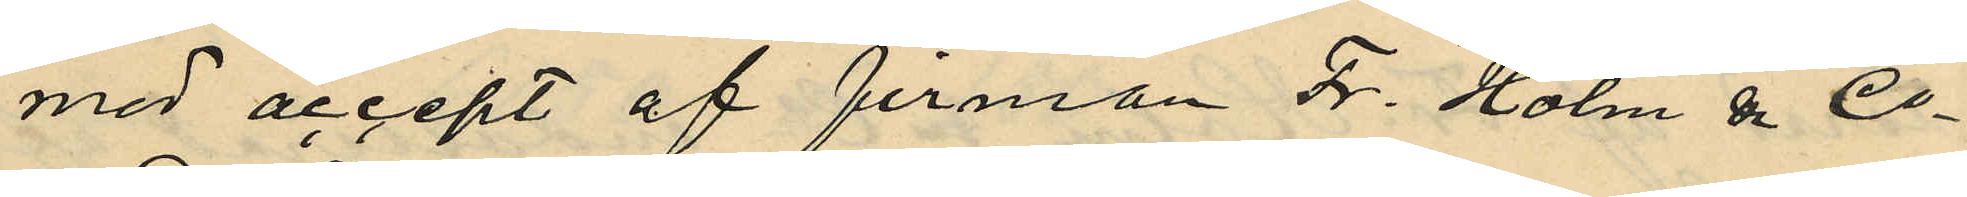med accept af firman F. Holm & Co
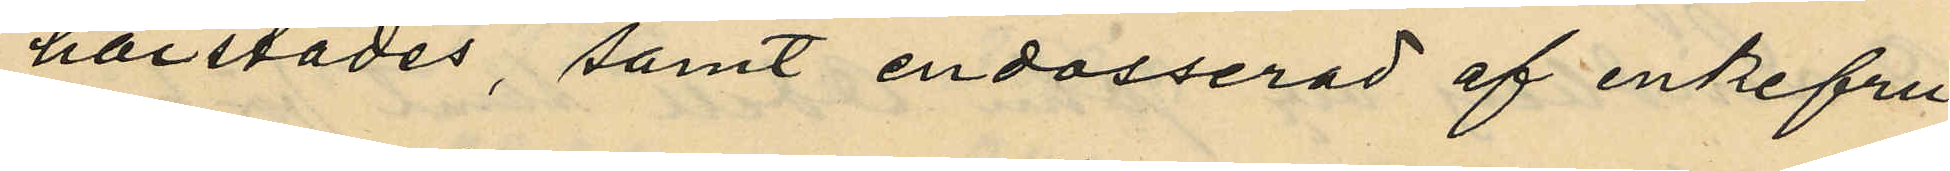härstädes, samt endosserad af enkefru
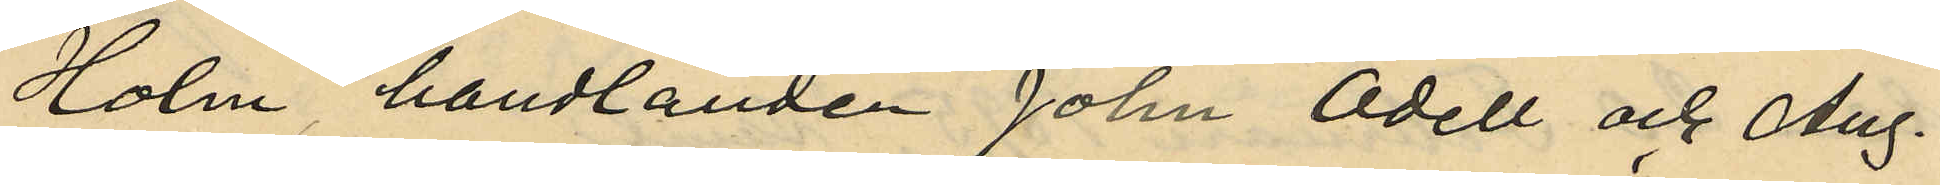Holm, handlanden John Odell och Aug.
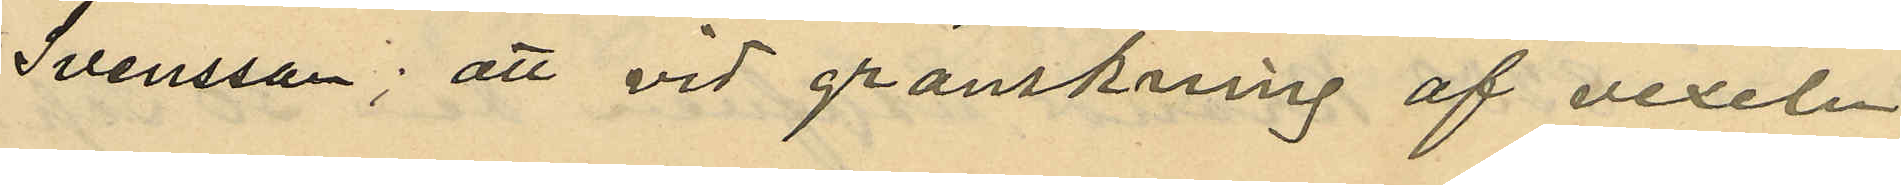Svensson; att vid granskning af vexeln
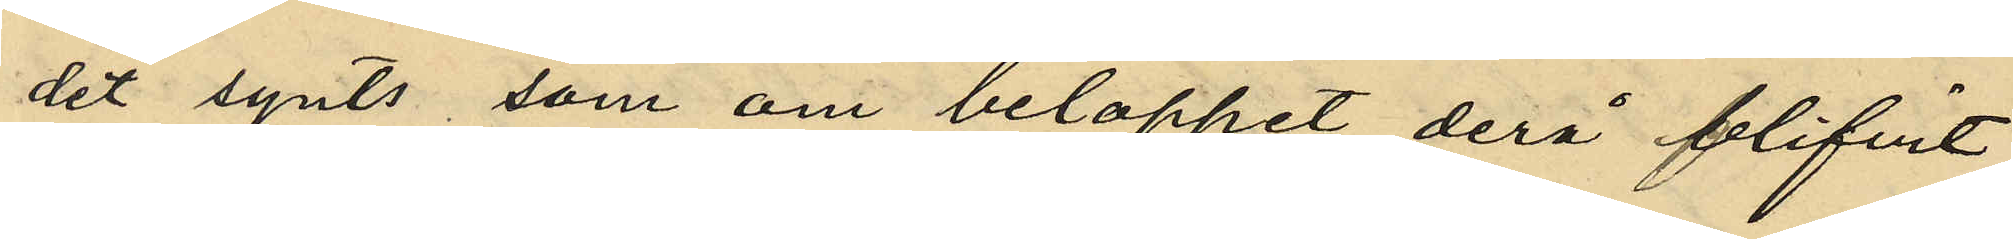det synts, som om beloppet derå blifvit
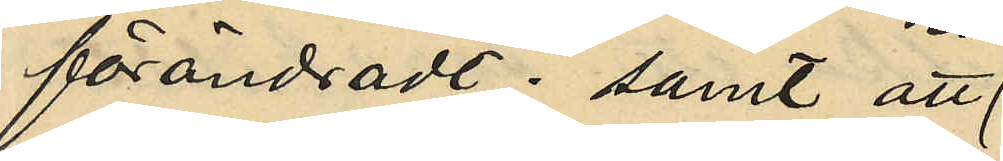förändradt; samt att
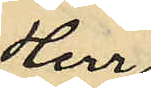Herr
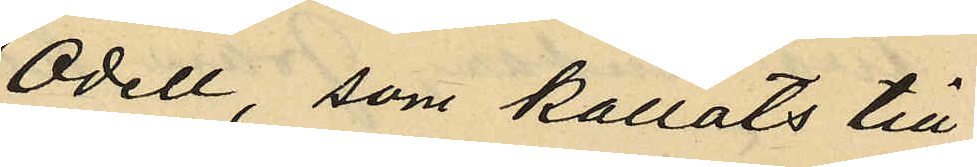Odell, som kallats till
